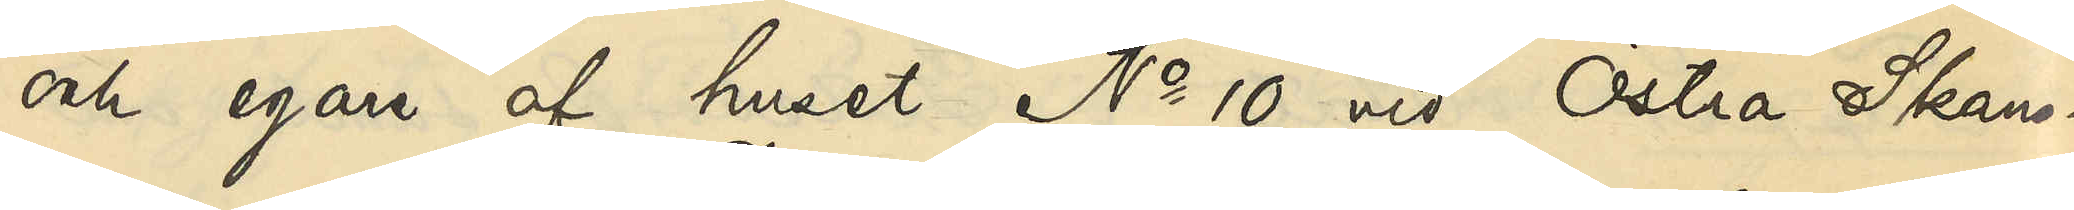och egare af huset No 10 vid Östra Skans¬
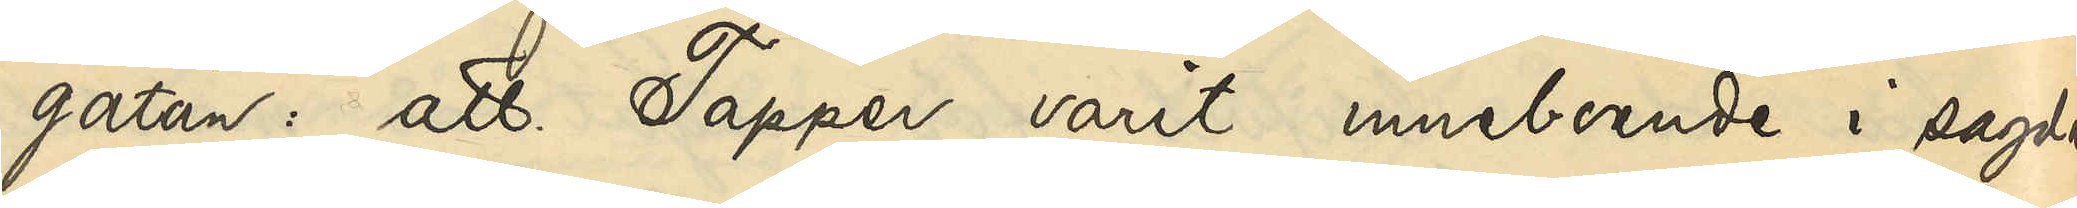gatan: att Tapper varit inneboende i sagda
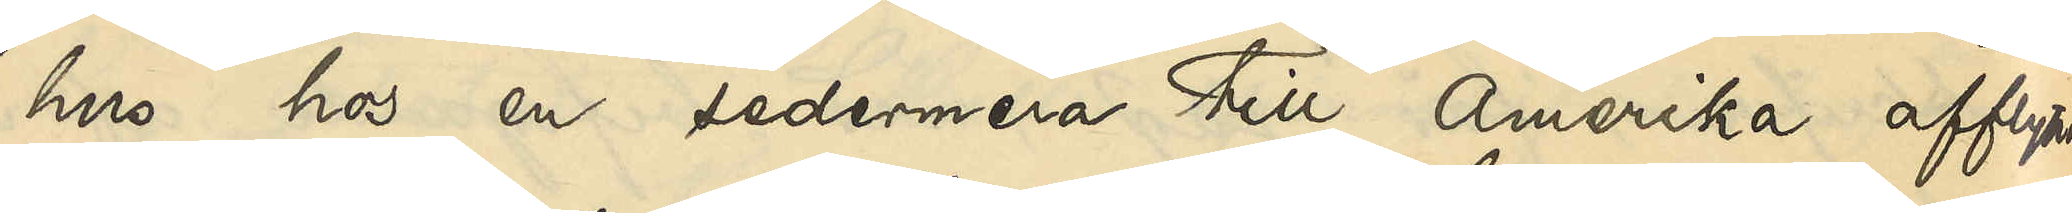hus hos en sedermera till Amerika afflyttad
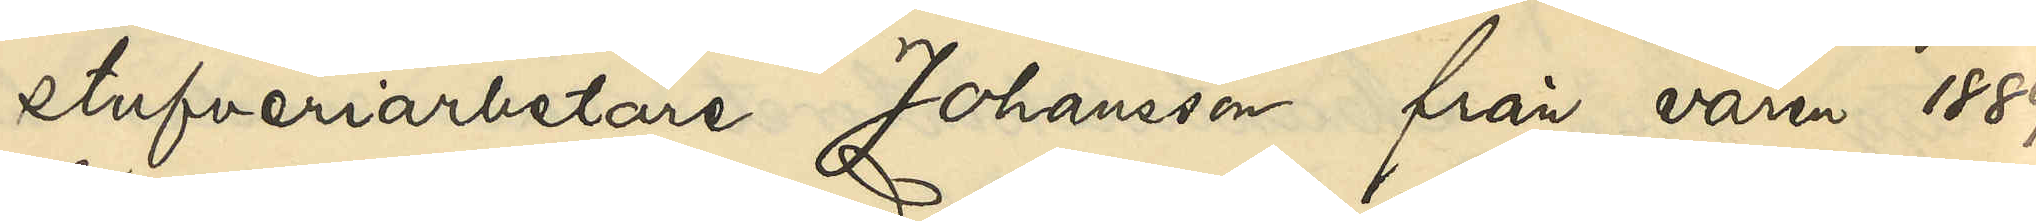stufveriarbetare Johansson från våren 1889
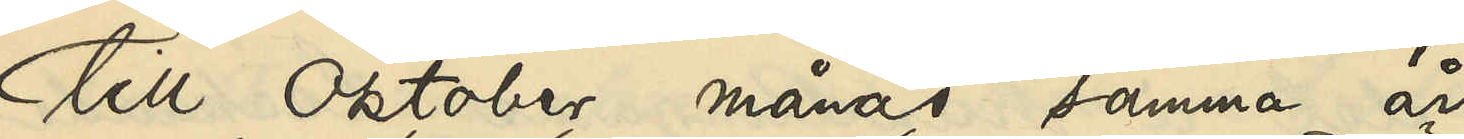till oktober månad samma år.
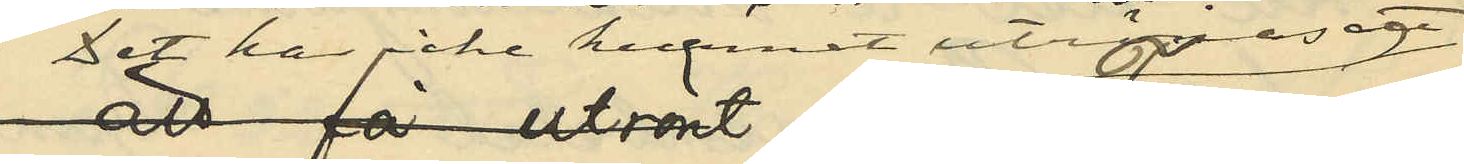Det har icke kunnat utrönas att
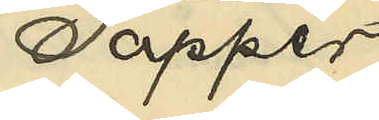Tapper
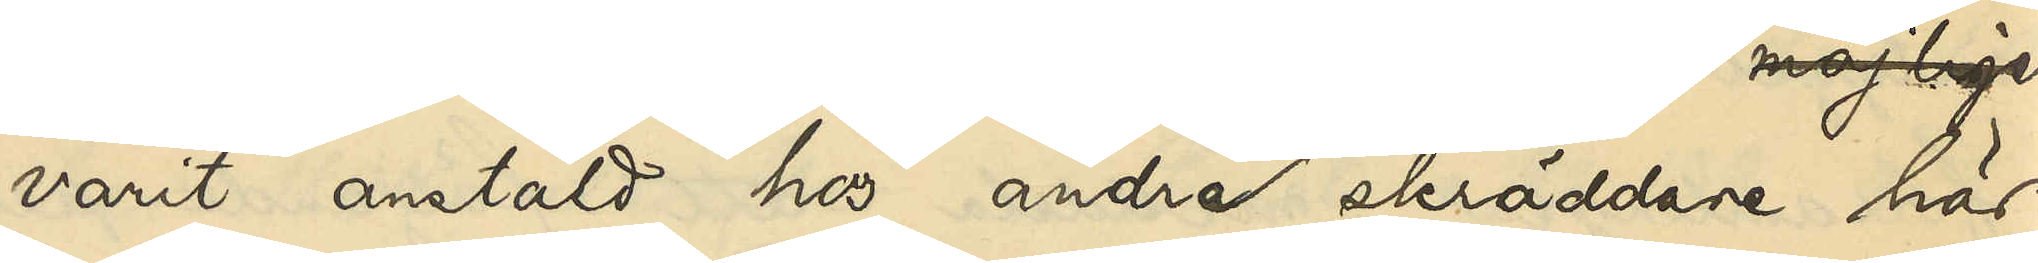varit anstäld hos andra skräddare här
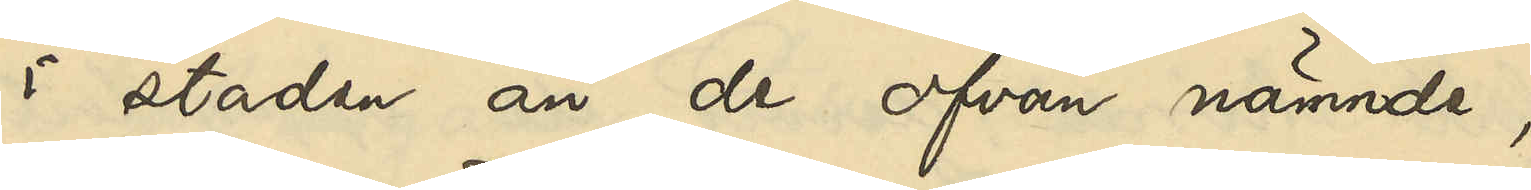i staden än de ofvan nämnde.
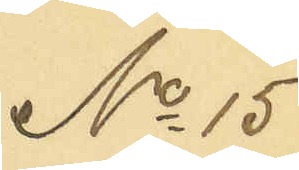No 15
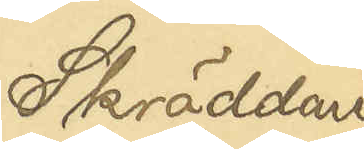Skräddaren
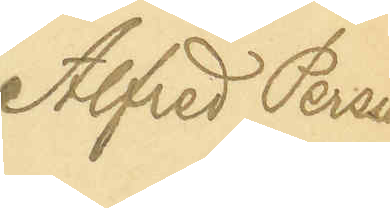Alfred Persson
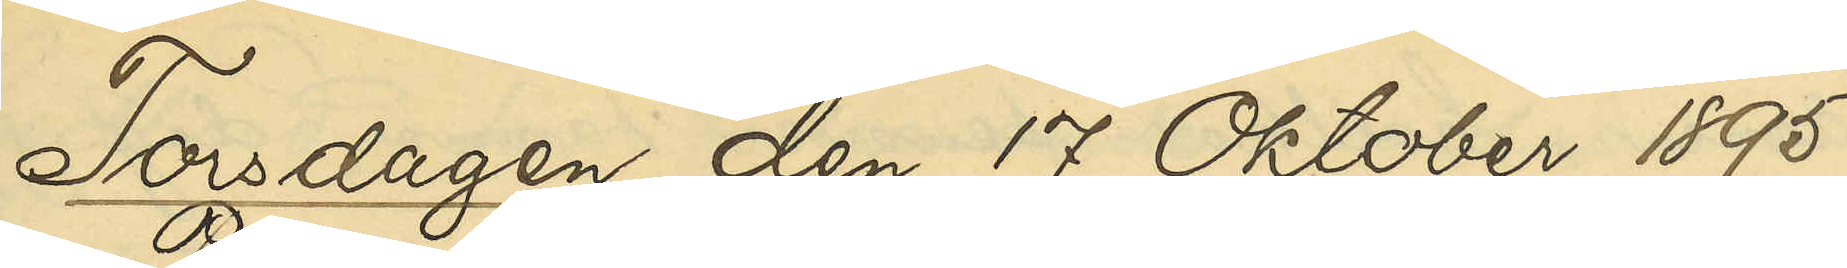Torsdagen den 17 Oktober 1895
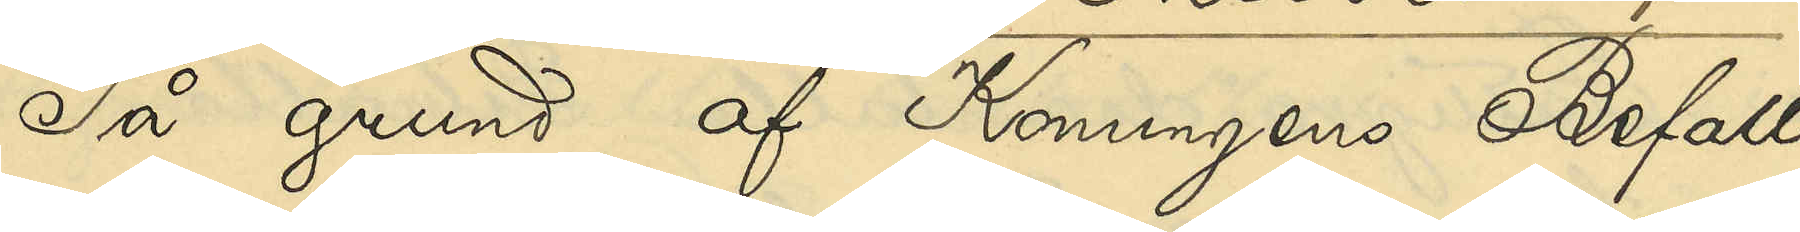På grund af Konungens Befall¬
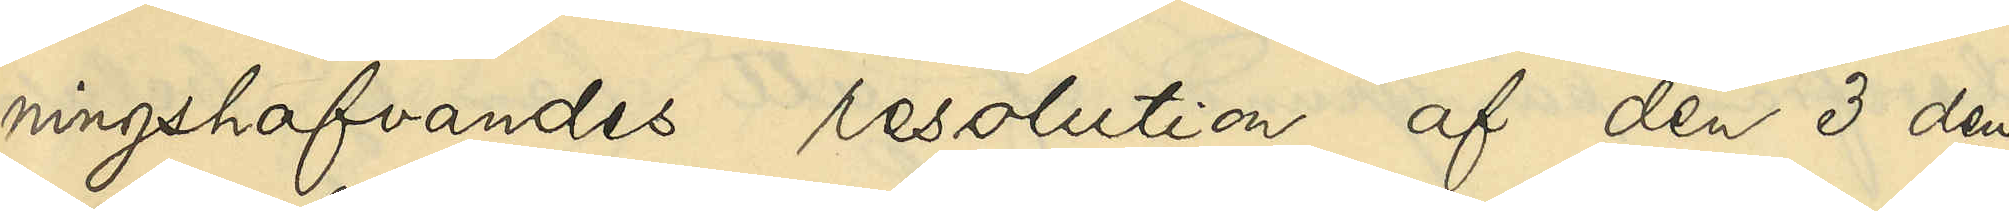ningshafvandes resolution af den 3 den¬
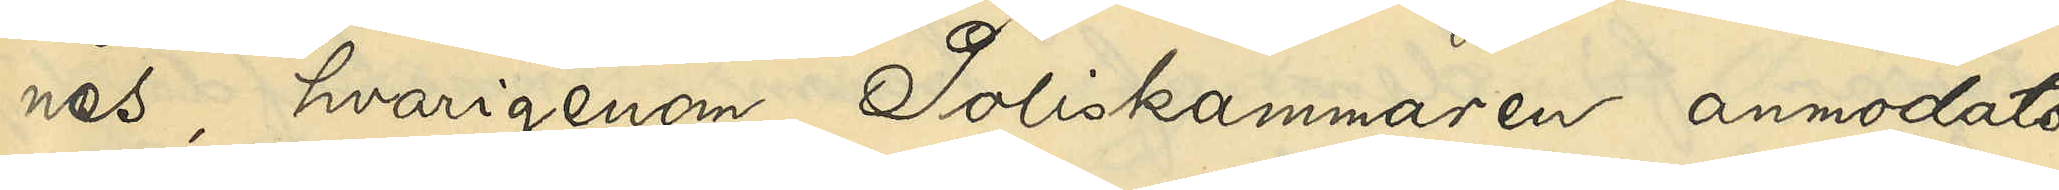nes, hvarigenom Poliskammaren anmodats
